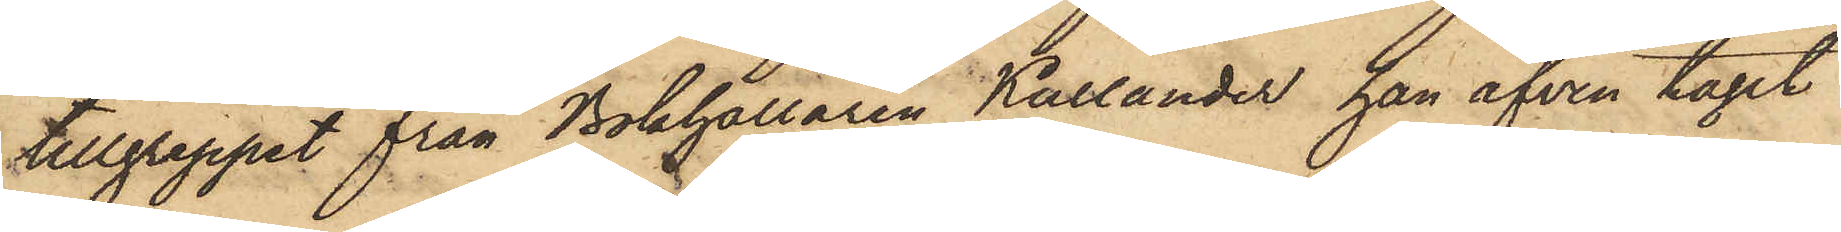tillgreppet från Bokhållaren Kullander han äfven tagit
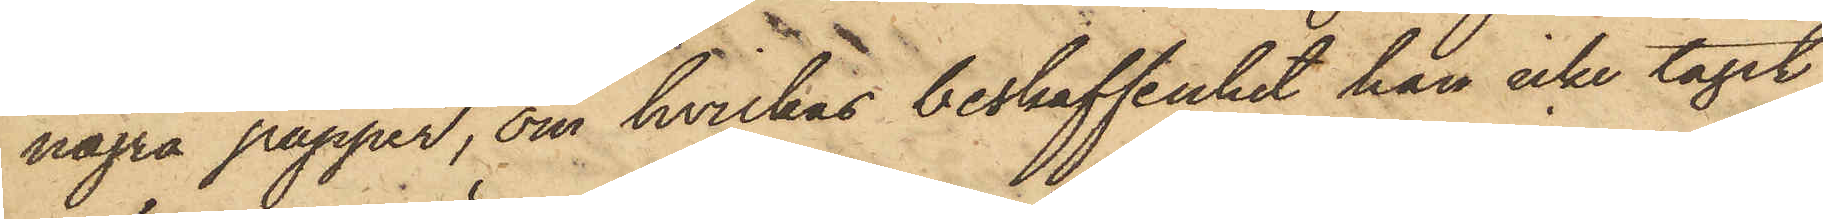några papper, om hvilkas beskaffenhet han icke tagit
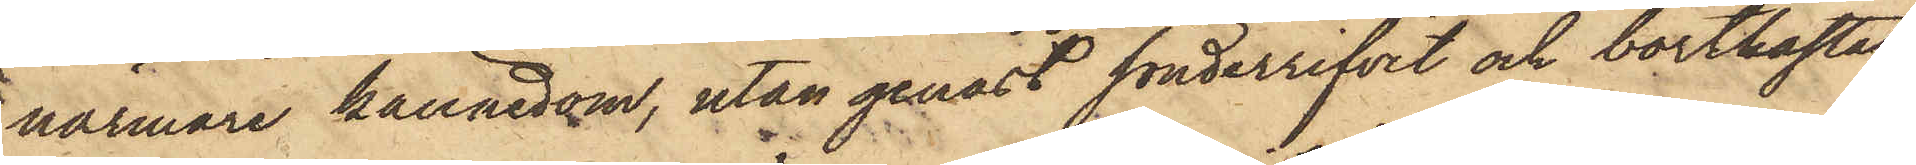närmare kännedom, utan genast sönderrifvit och bortkastat
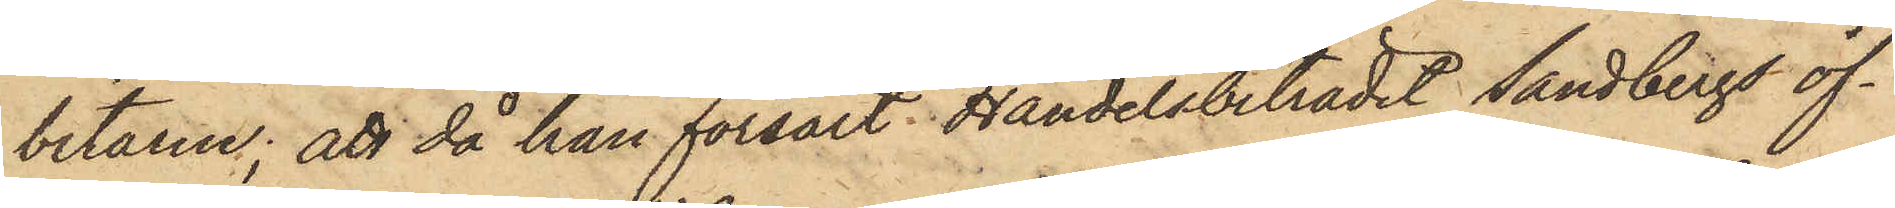bitarne; att då han försålt Handelsbiträdet Sandbergs öf¬
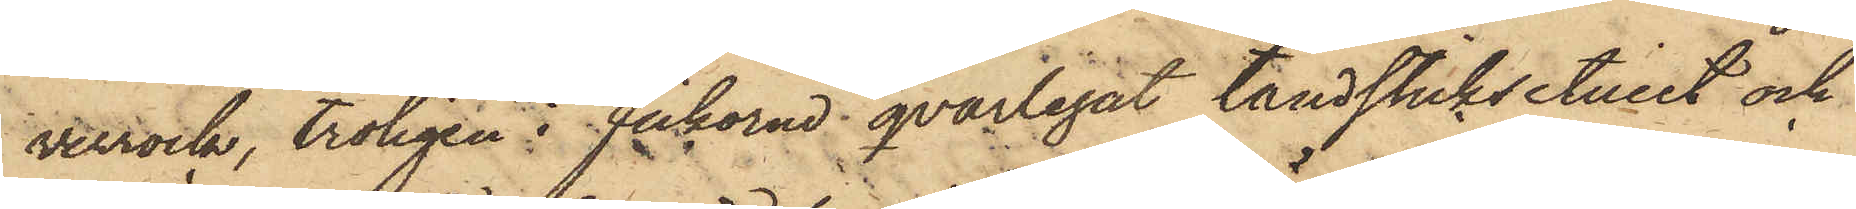verrock, troligen i fickorna qvarlegat tändsticksetuiet och
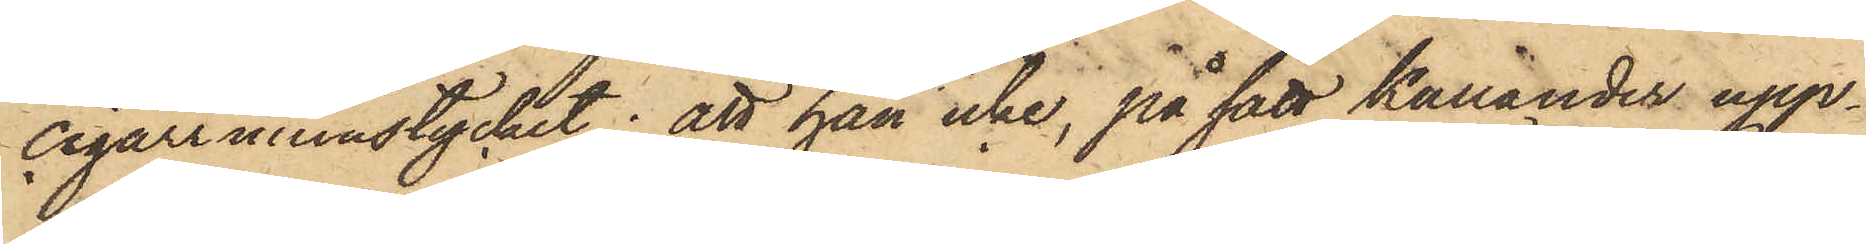cigarrmunstycket; att han icke, på sätt Kullander upp¬
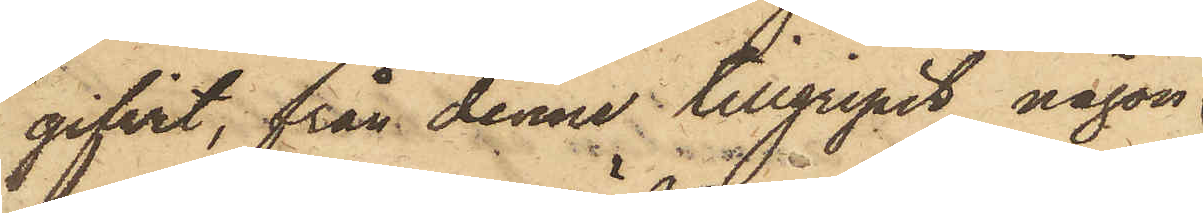gifvit, från denne tillgripit någon
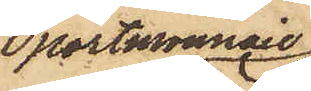portmonnaie
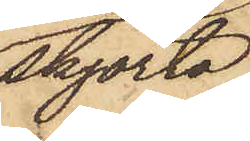skjorta
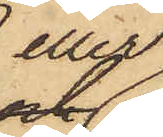eller
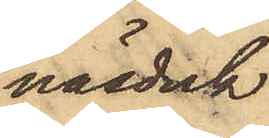näsduk
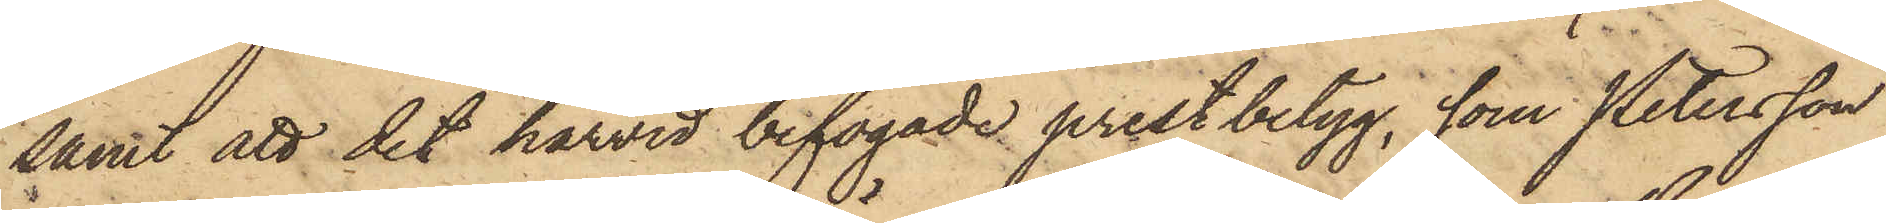samt att det härvid bifogade prestbetyg, som Petersson
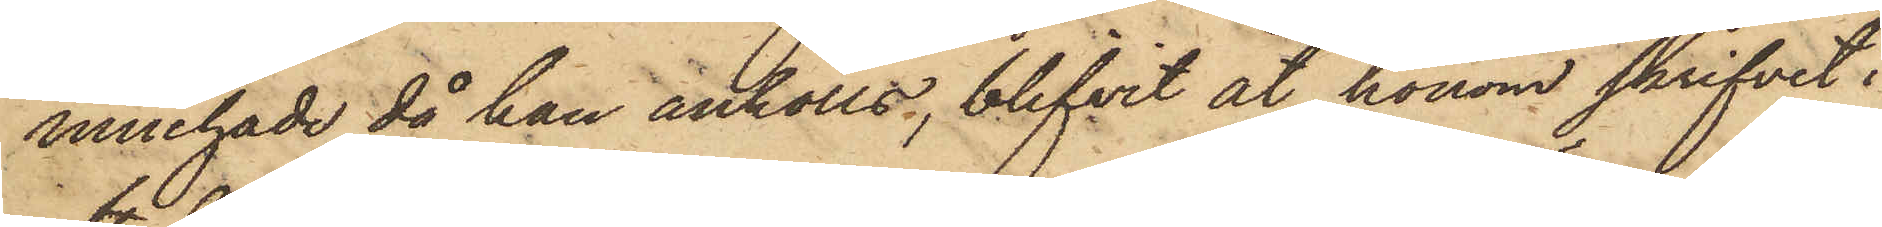innehade då han anhölls, blifvit åt honom skrifvit i
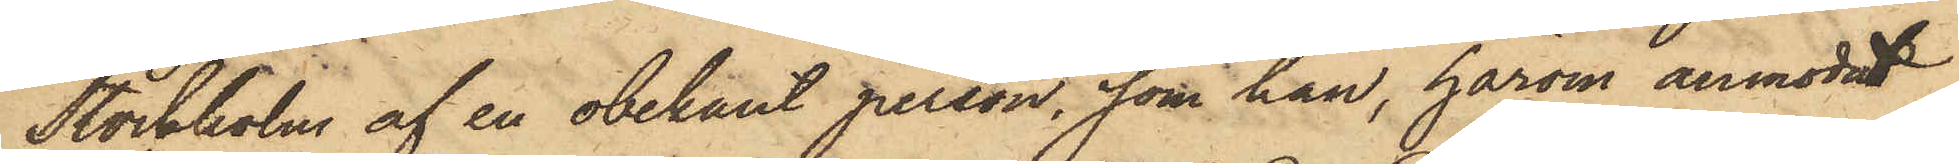Stockholm af en obekant person, som han, härom anmodat
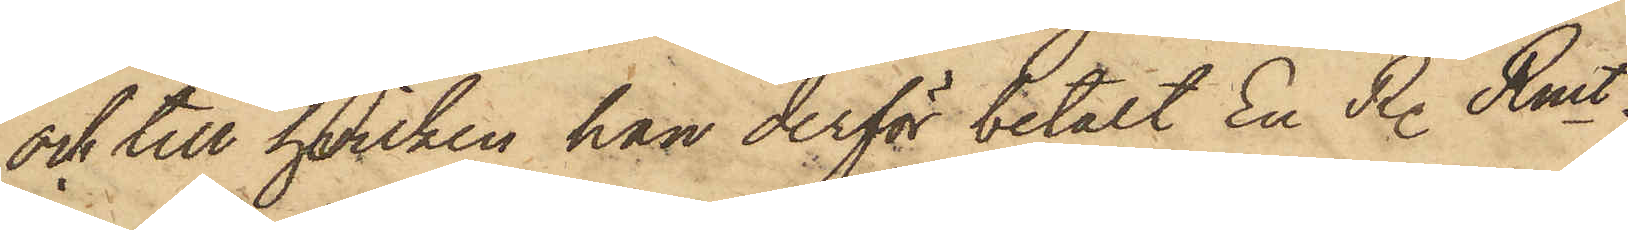och till hvilken han derför betalt En R. Rmt.
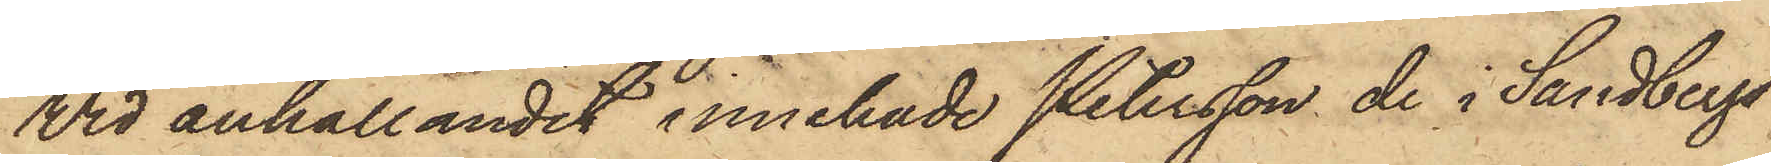Vid anhållandet innehade Petersson de i Sandbergs
